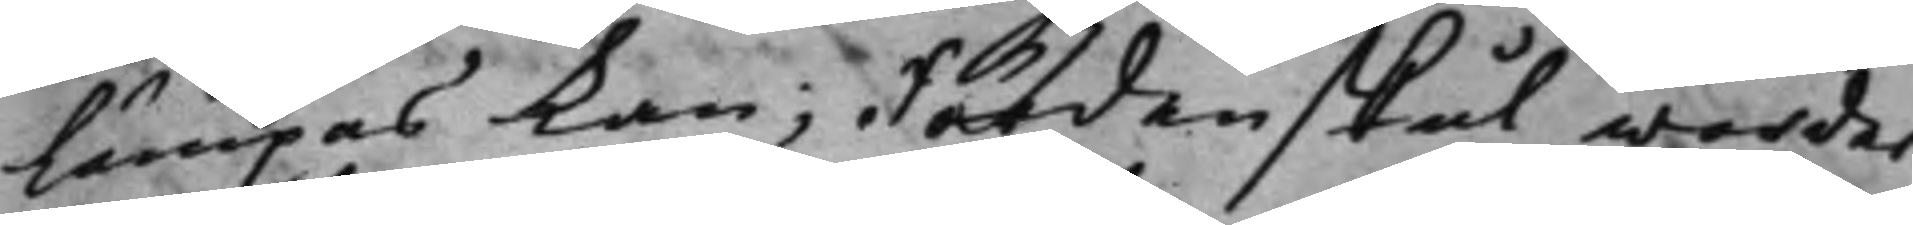lämpas kan; Fördenskul worder
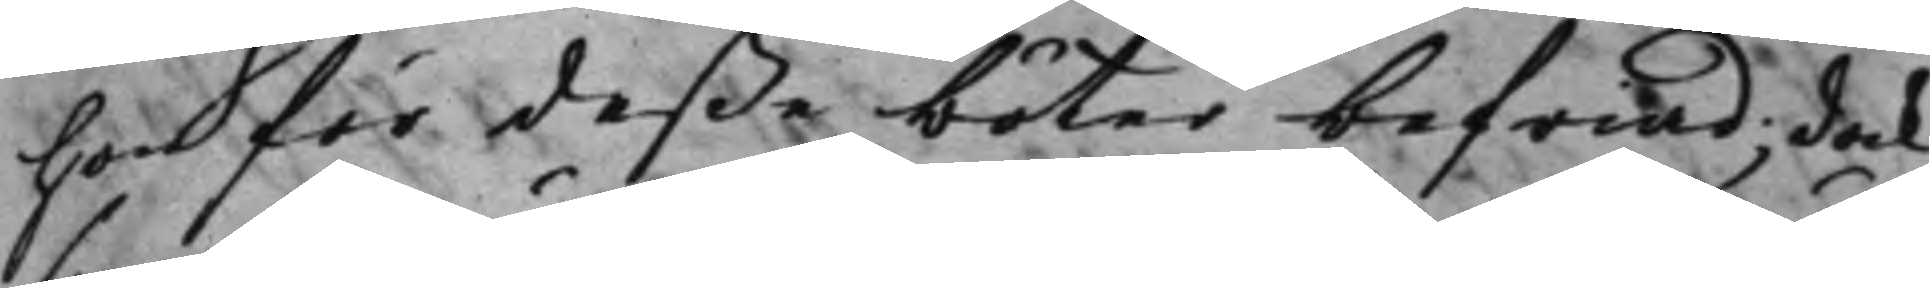hon för deßa böter befriad; dock
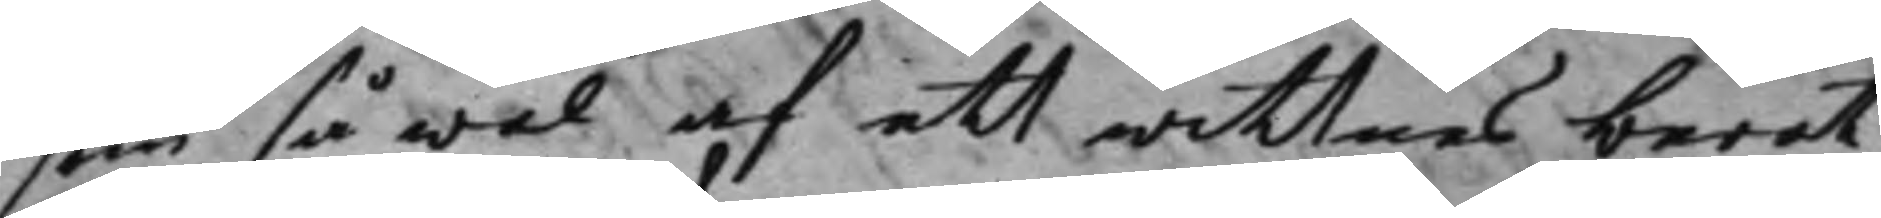som så wäl af ett wittnes berät¬
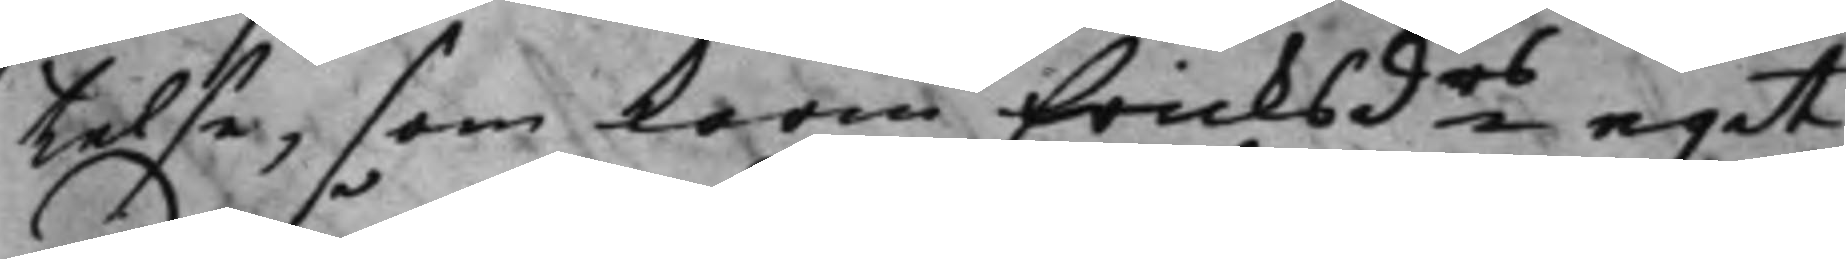telse, som Karin Ericksdrs egit
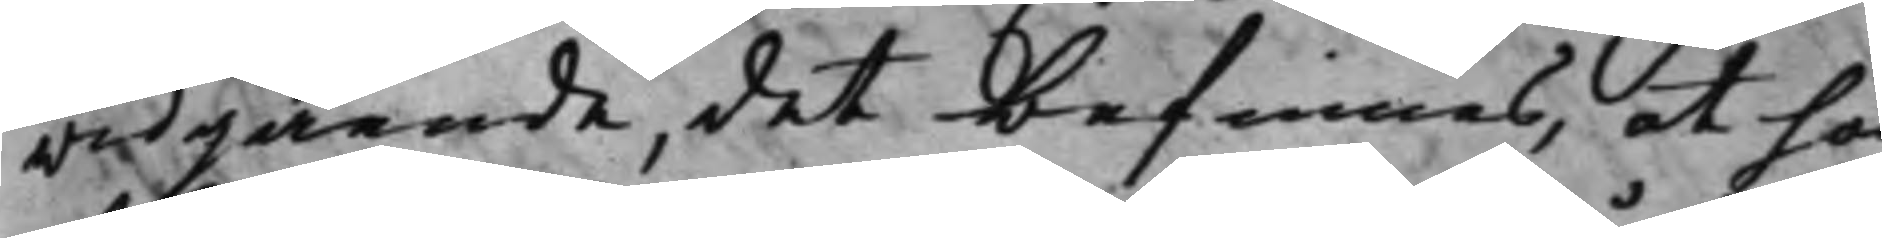widgående, det befinnes, at hon
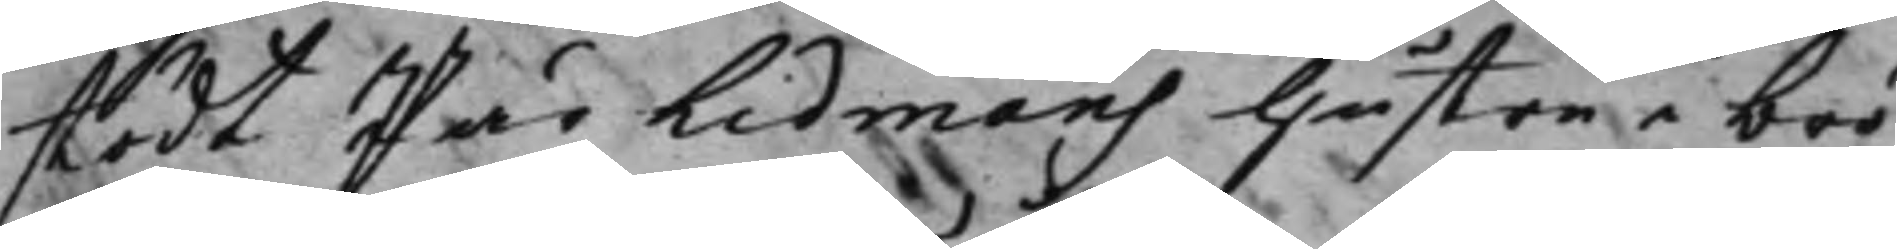stödt Pär Lidmans hustru i brö¬
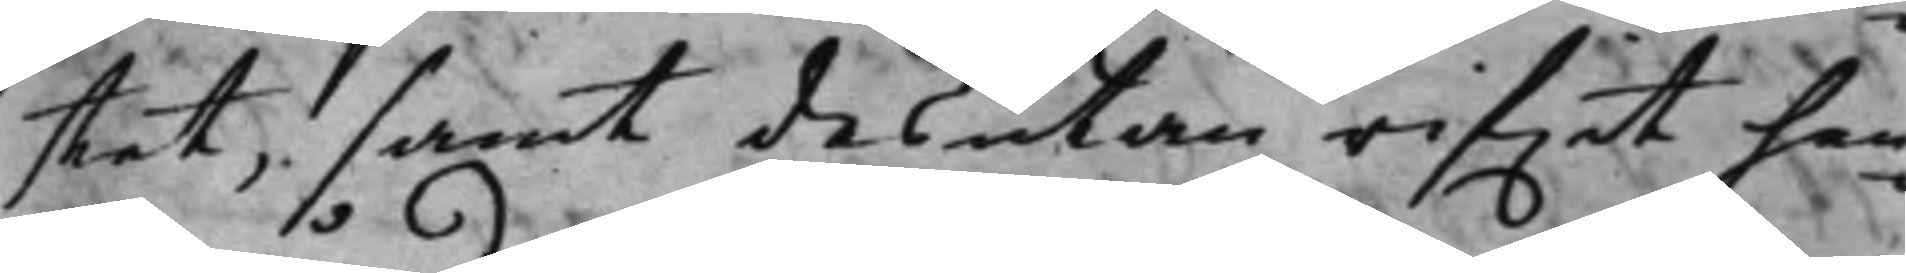stet, samt desutan rifwit hen¬
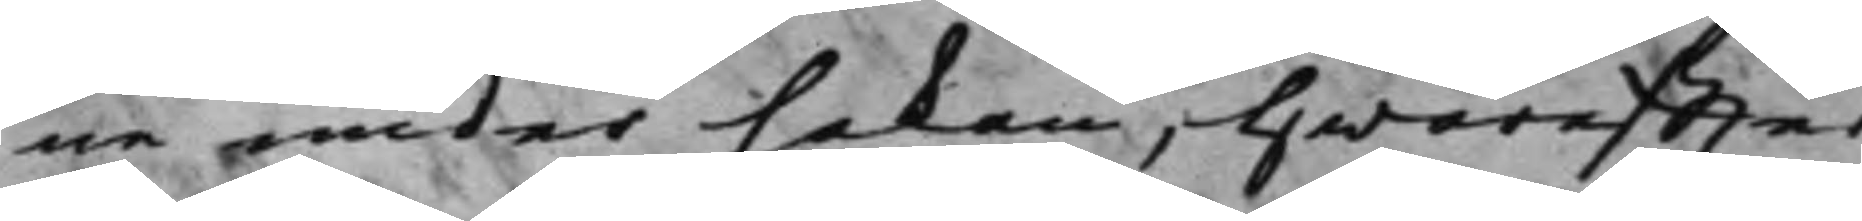ne under hakan, hwareffter
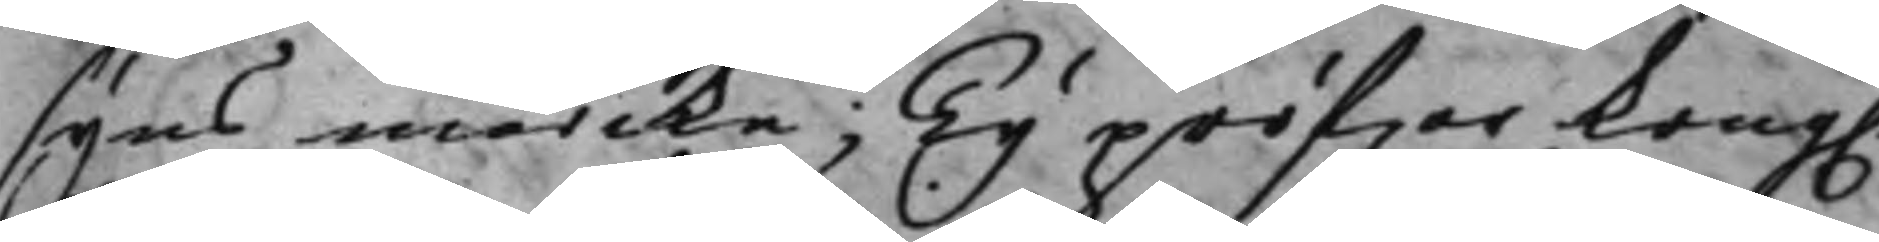syns märcke; Ty pröfwar Kong.
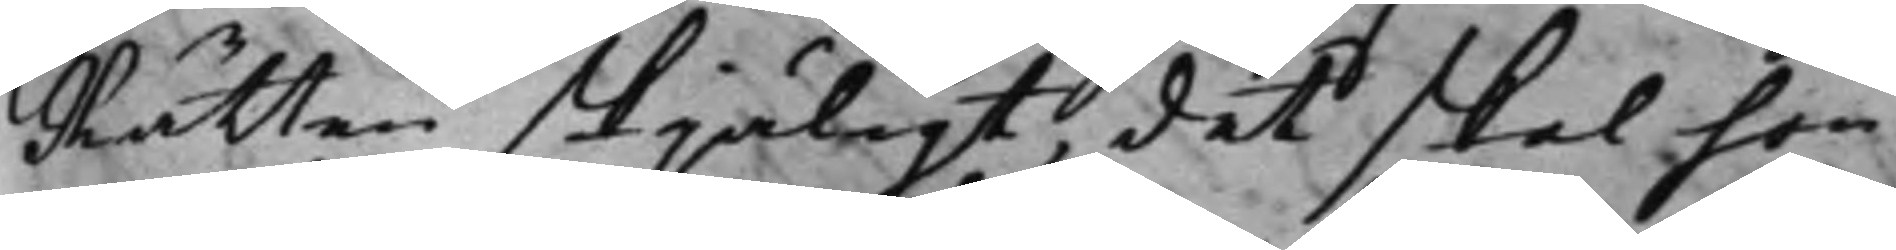Rätten skjäligt, det skal hon
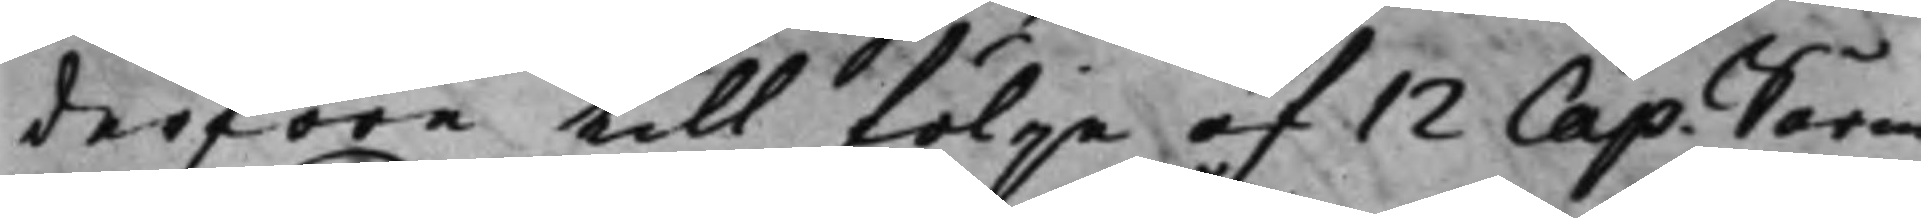derföre till följe af 12 Cap: Sårm.¬
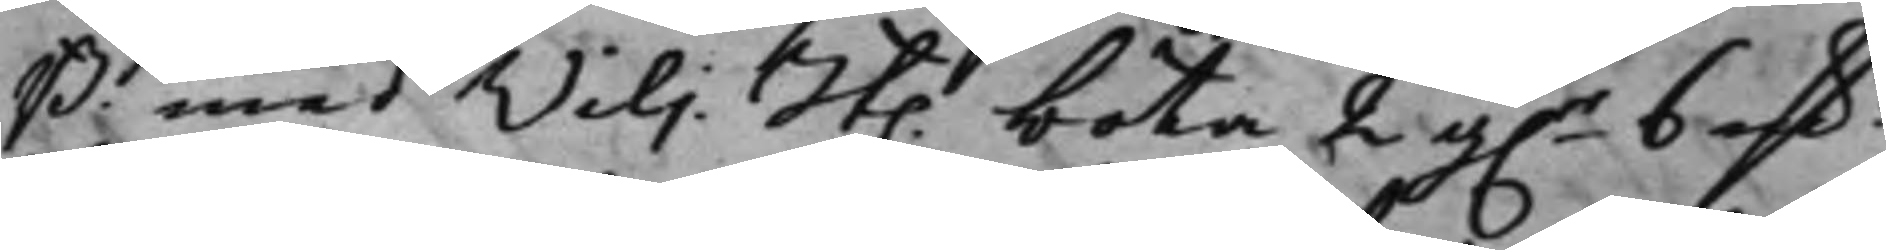B. med Vilj. St. böta 2 g.r 6 mk.r
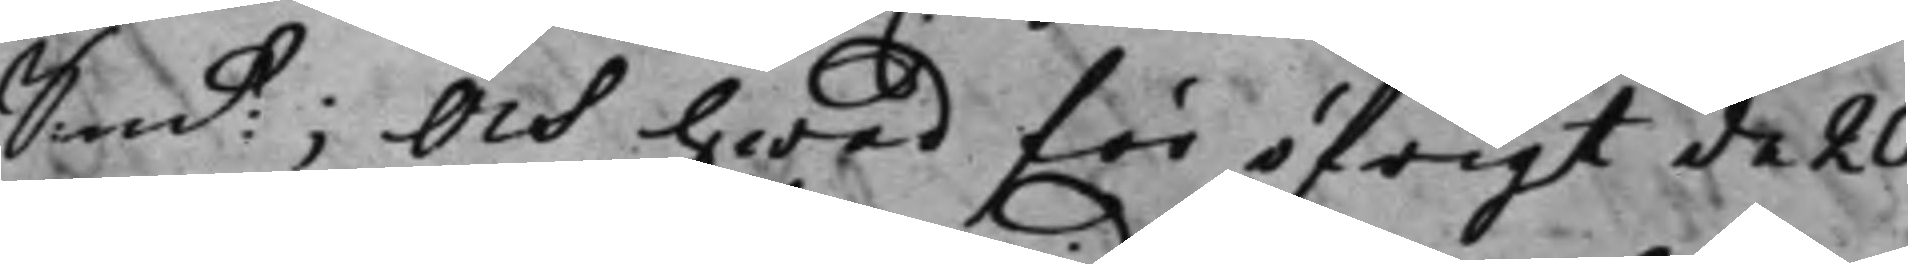Sm:t; Och hwad för öfrigt de 20
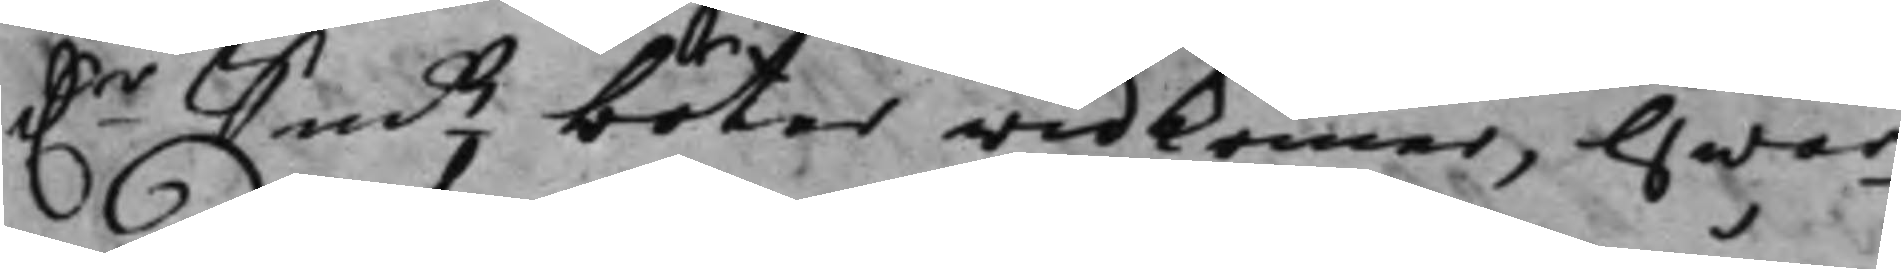D:r Smts böter widkommer, Hwar¬
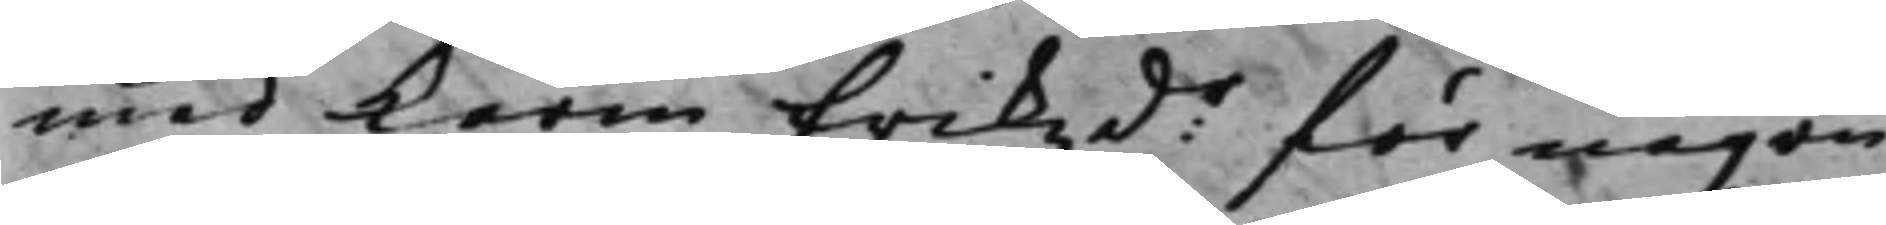med Karin Erikzd:r för någon
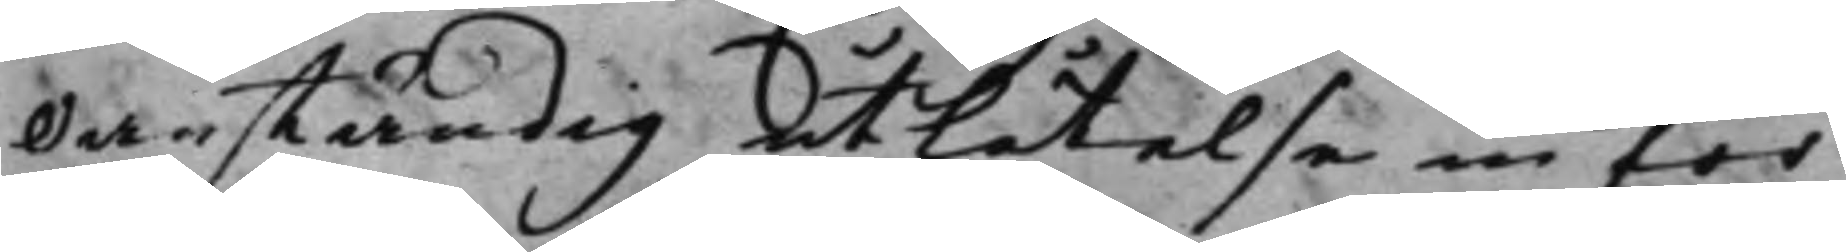Oanständig utlåtelse inför
